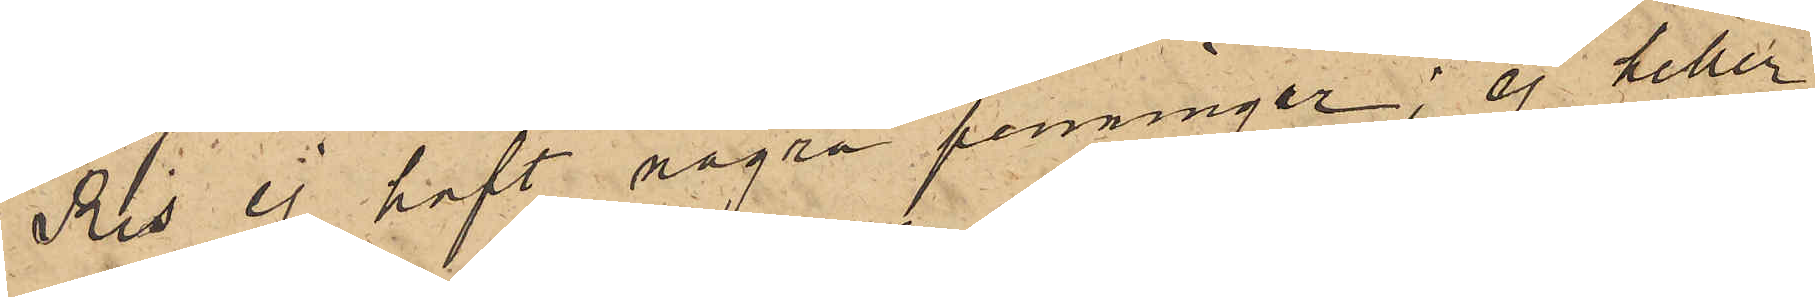Ris ej haft några penningar, ej heller
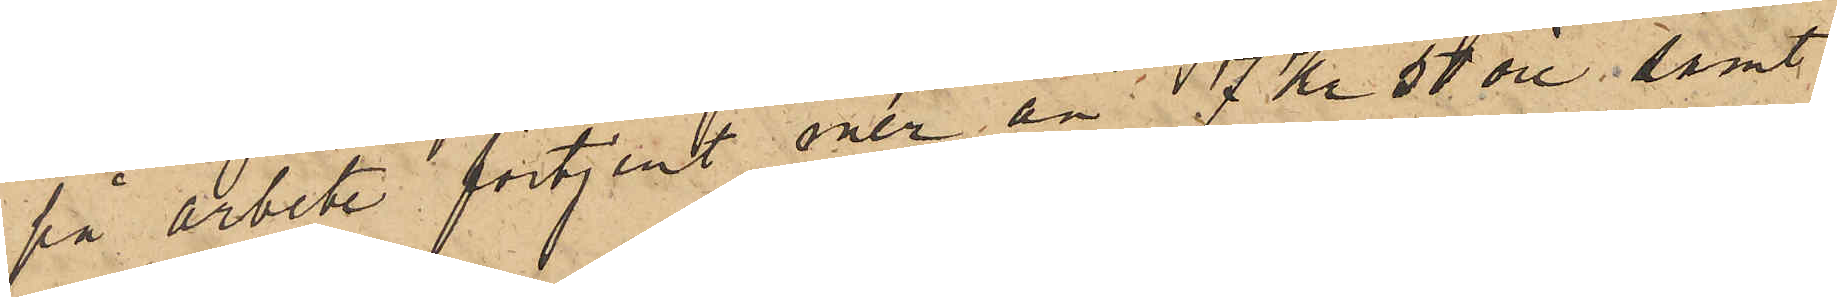på arbete förtjent mer än 7 Kr 50 öre, samt
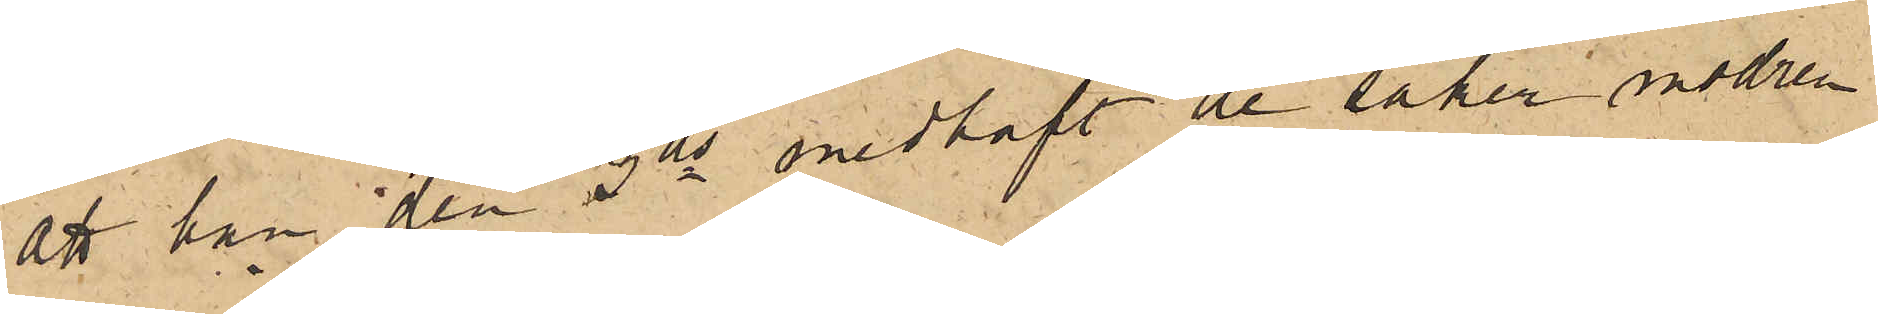att han den 3ds medhaft de saker modren
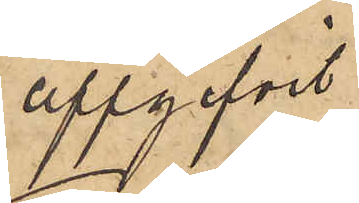uppgifvit.
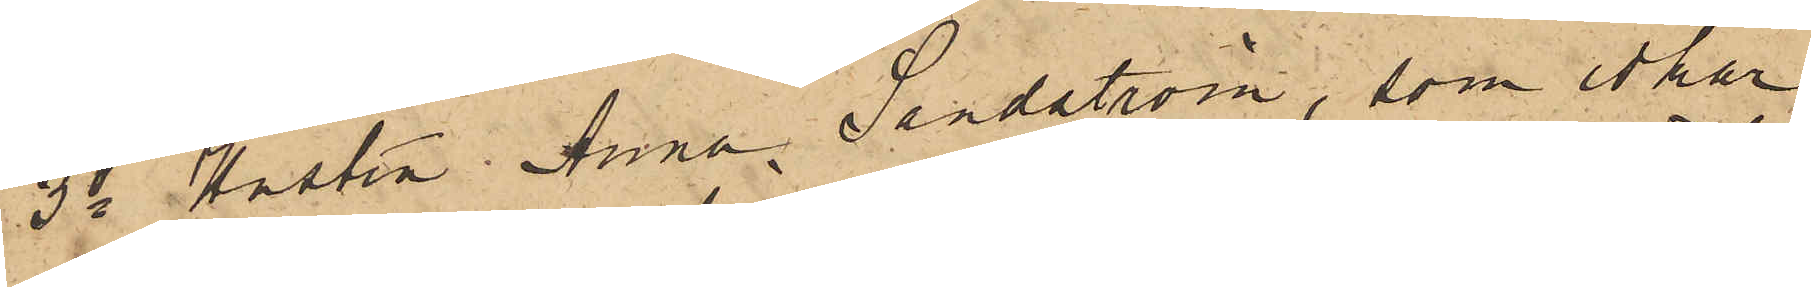3o Hustru Anna Sandström, som idkar
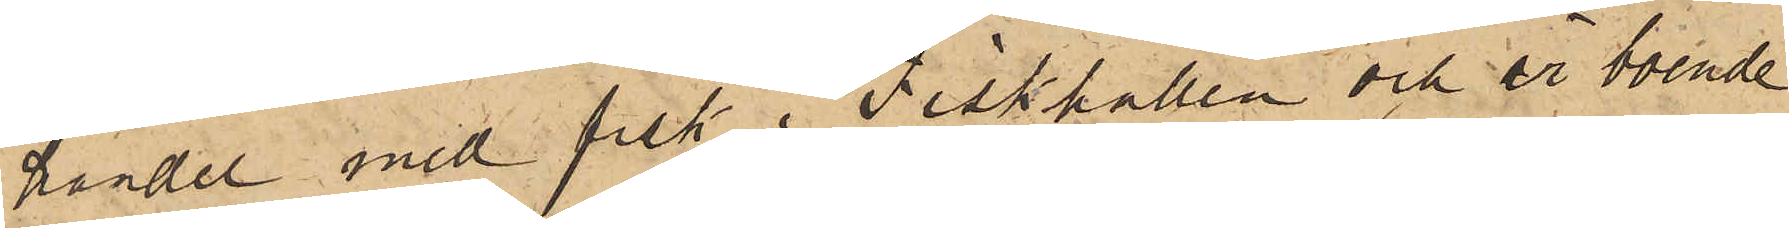handel med fisk i Fiskhallen och är boende
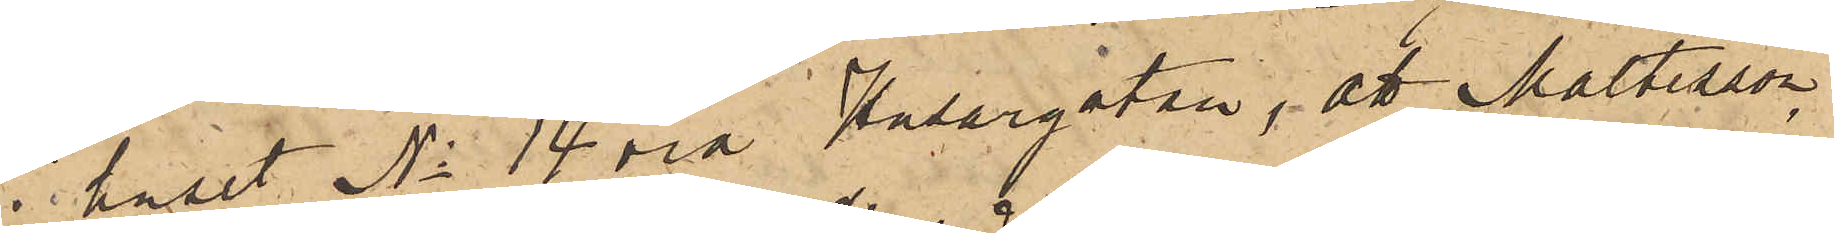i huset No 14 vid Husargatan, att Maltesson,
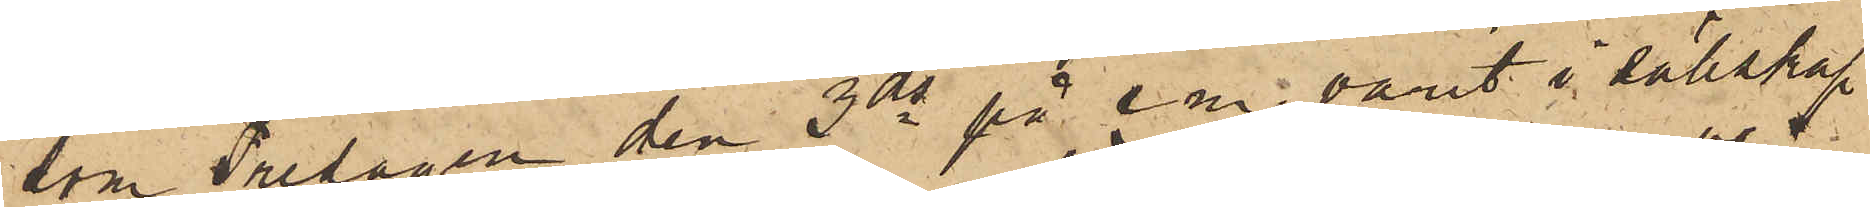som Fredagen den 3 ds på e.m. varit i sällskap
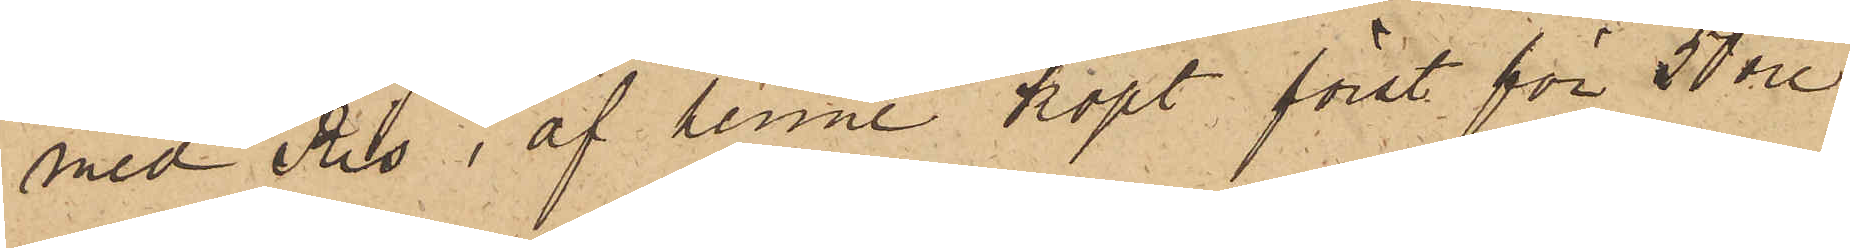med Ris, af henne köpt först för 50 öre
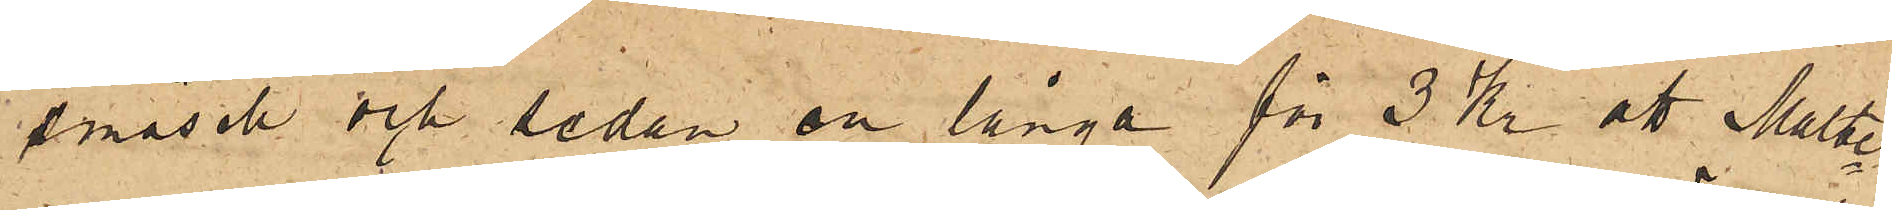småsill och sedan en långa för 3 Kr; att Maltes¬
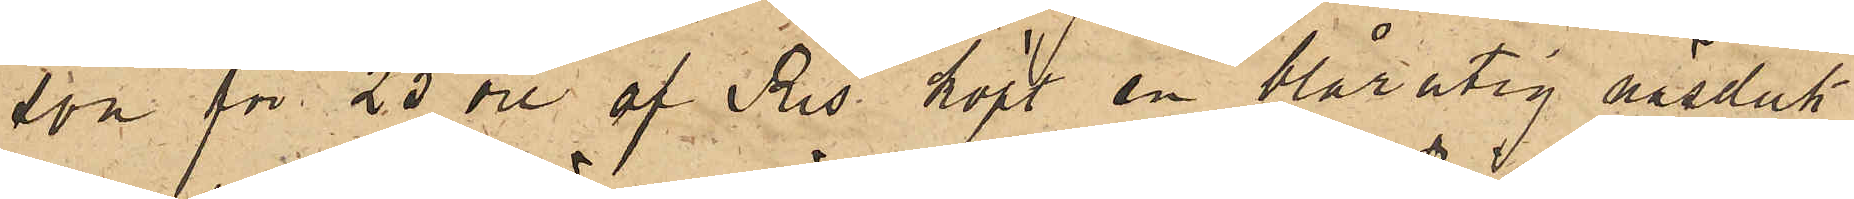son för 25 öre af Ris köpt en blårutig näsduk
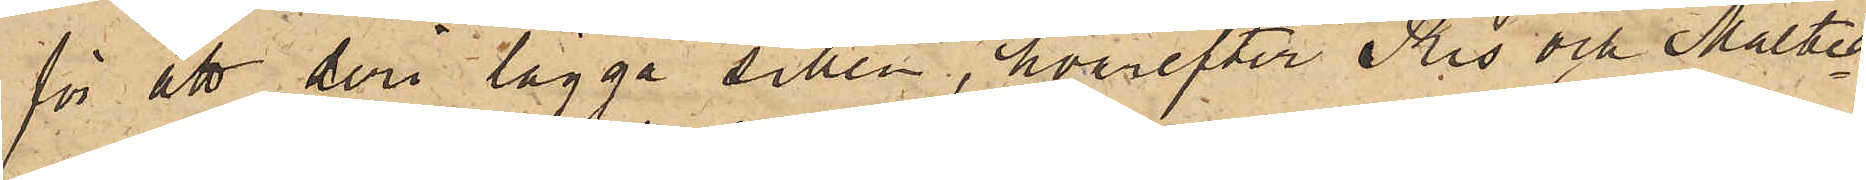för att deri lägga sillen, hvarefter Ris och Maltes¬
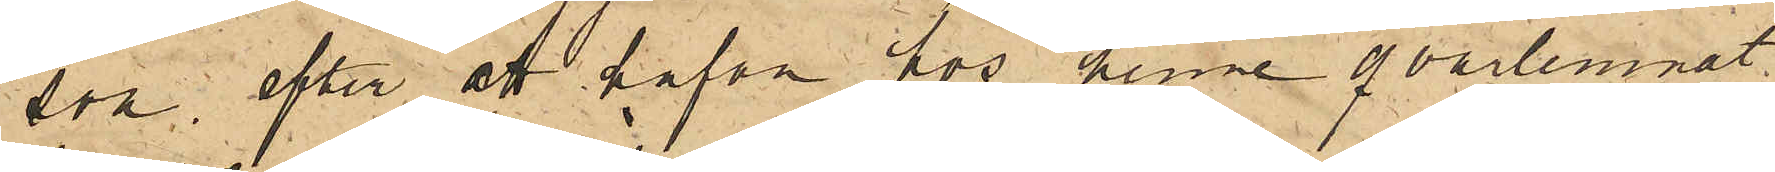son, efter att hafva hos henne qvarlemnat
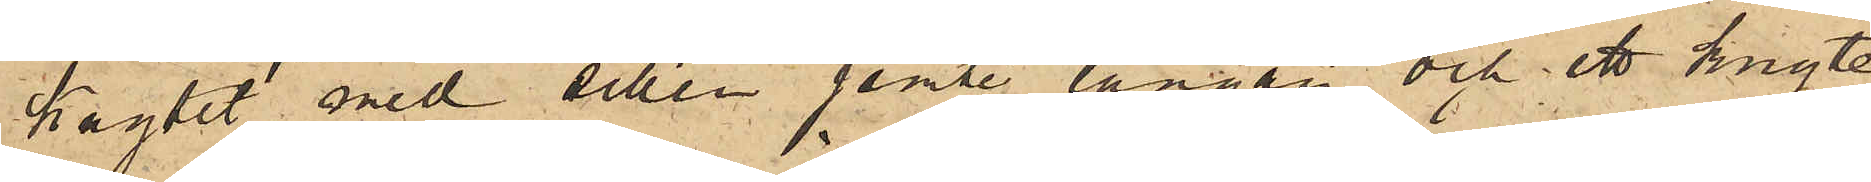knytet med sillen jemte långan och ett knyte
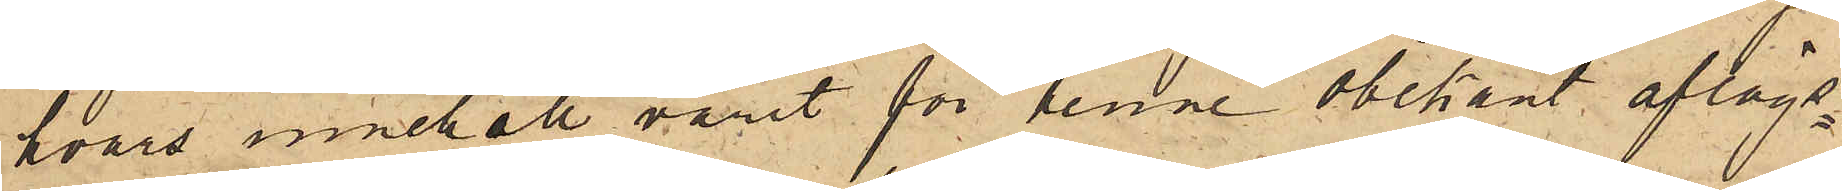hvars innehåll varit för denne obekant aflägs¬
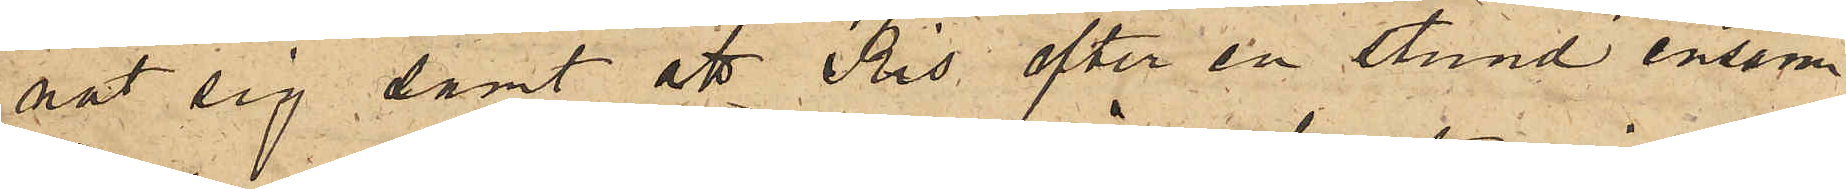nat sig samt att Ris efter en stund ensam
